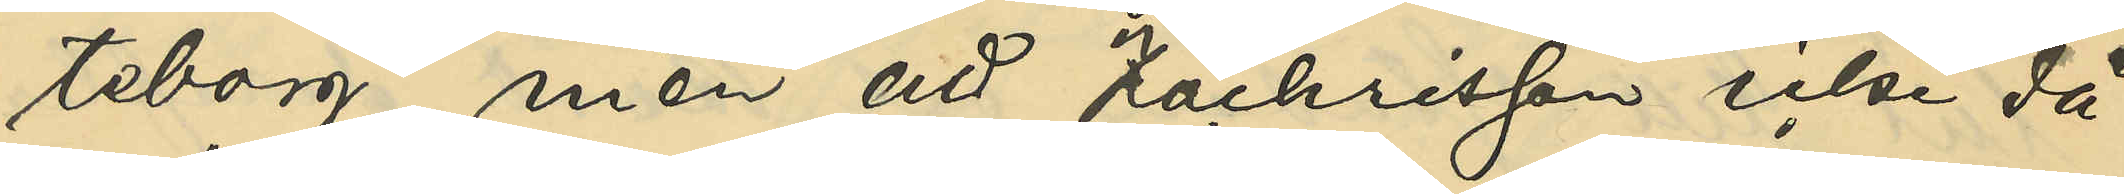teborg, men att Zachrisson icke då
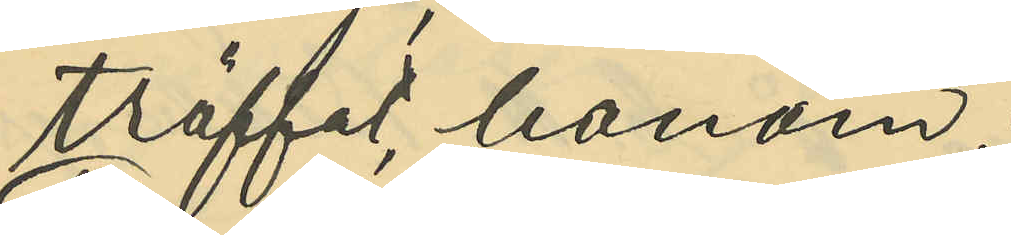träffat honom;
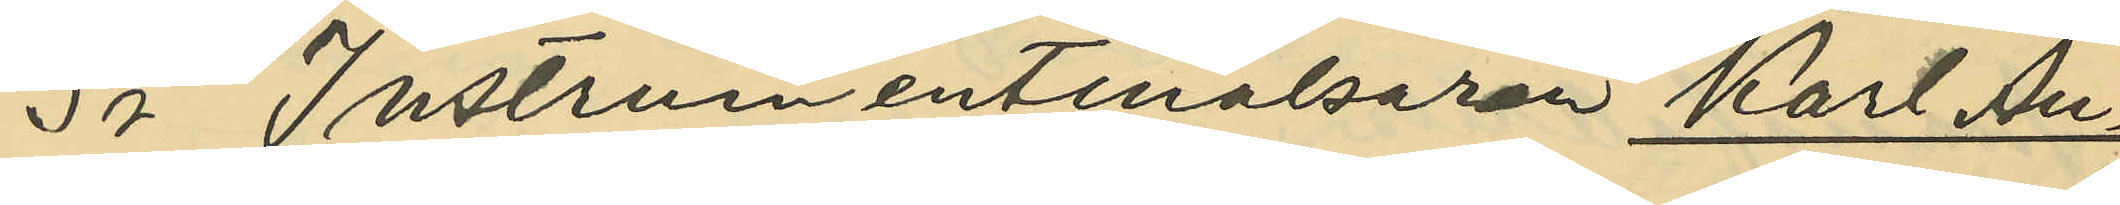3o Instrumentmakaren Karl Au¬
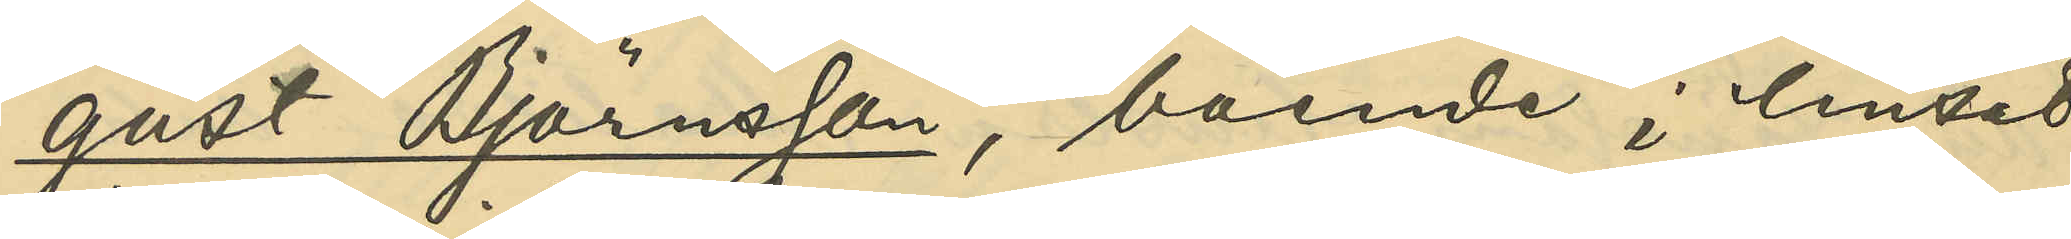gust Björnsson, boende i huset
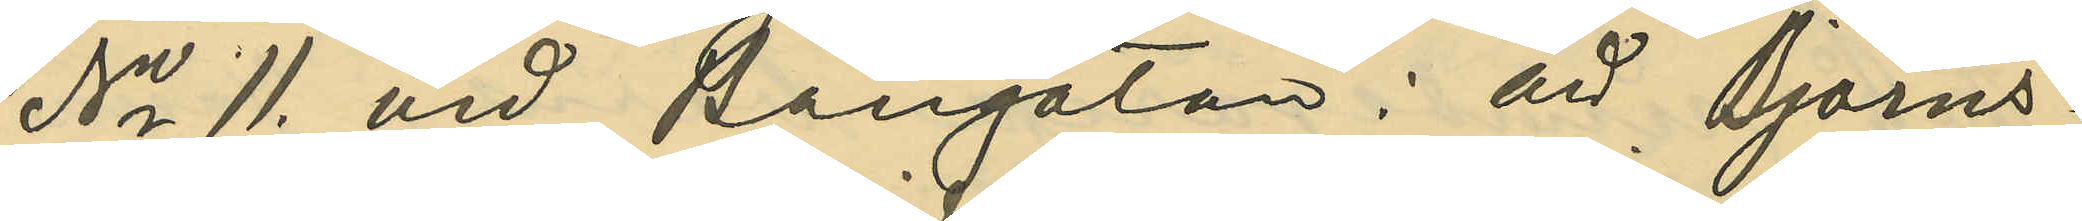No 11. vid Bangatan: att Björns¬
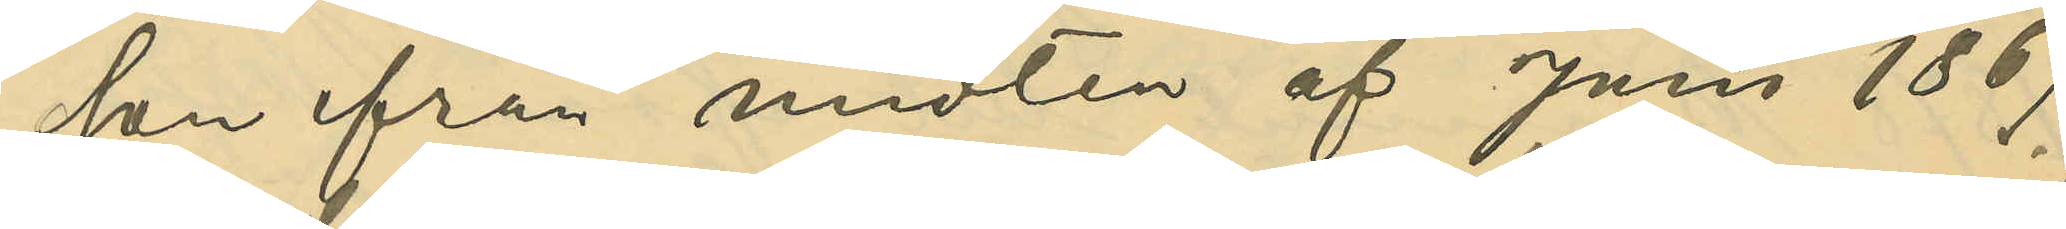son från midten af Juni 1869.
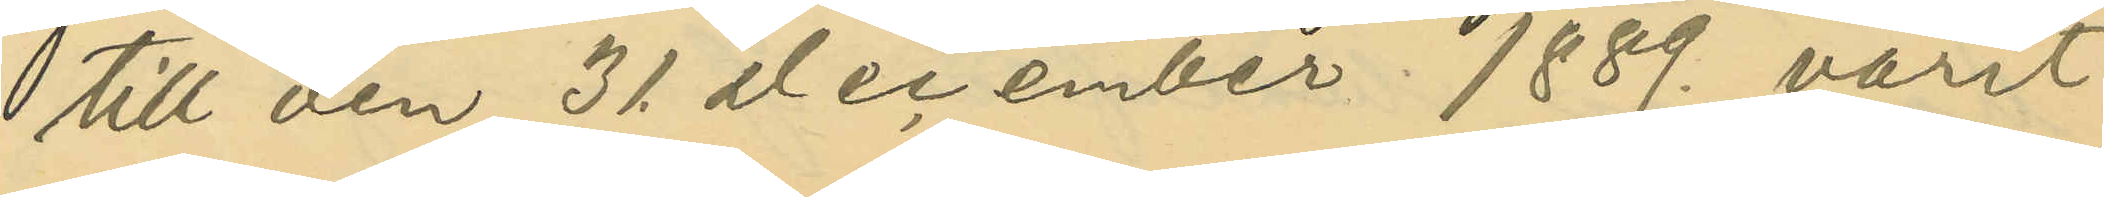till den 31. December 1889. varit
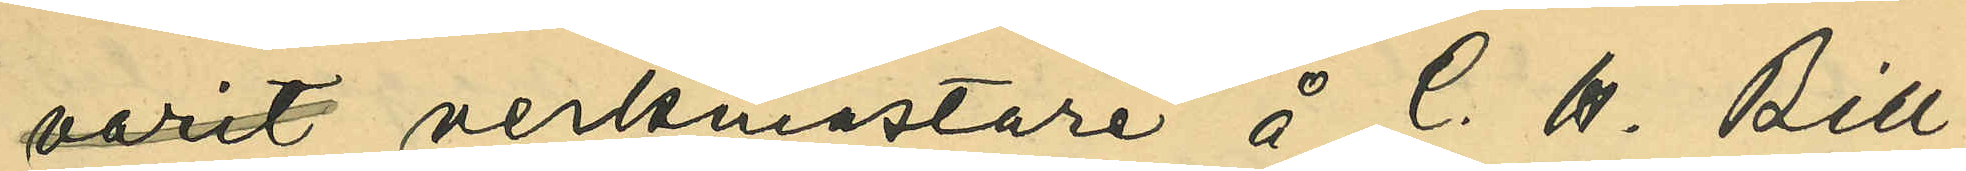varit verkmästare å C. H. Bill¬
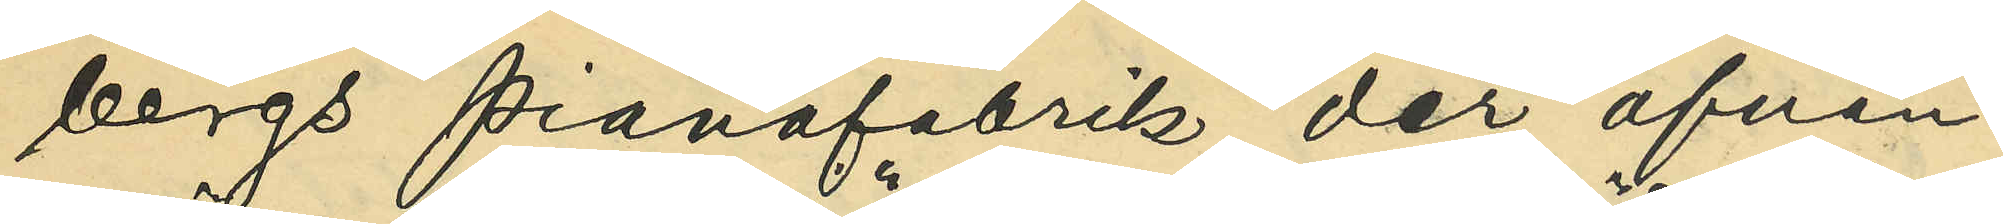bergs Pianofabrik, der ofvan¬
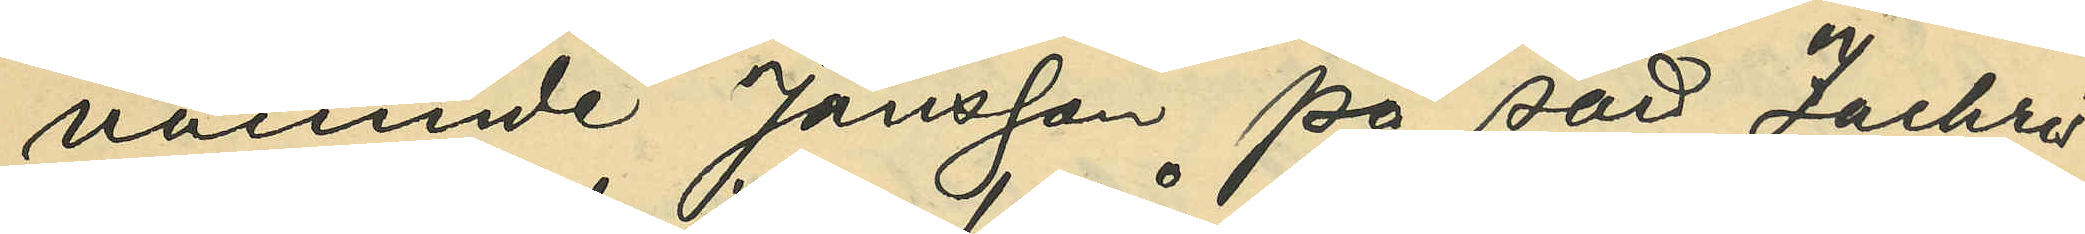nämnde Jönsson på sätt Zachris¬
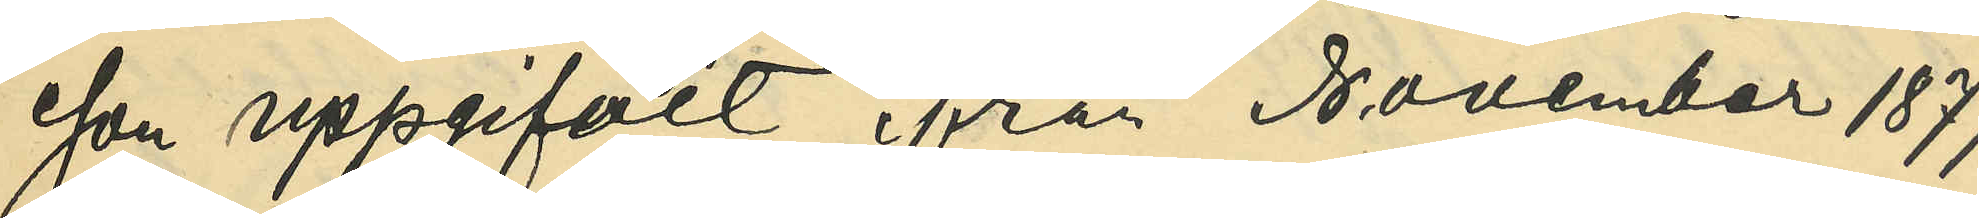son uppgifvit från November 1877
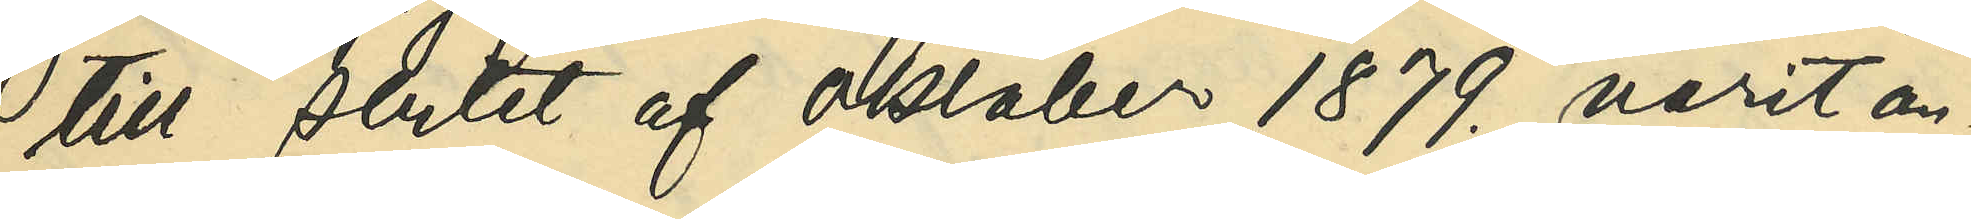till slutet af oktober 1879. varit an¬
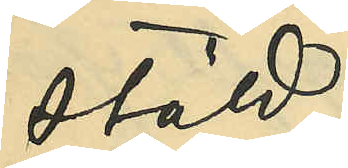stäld;
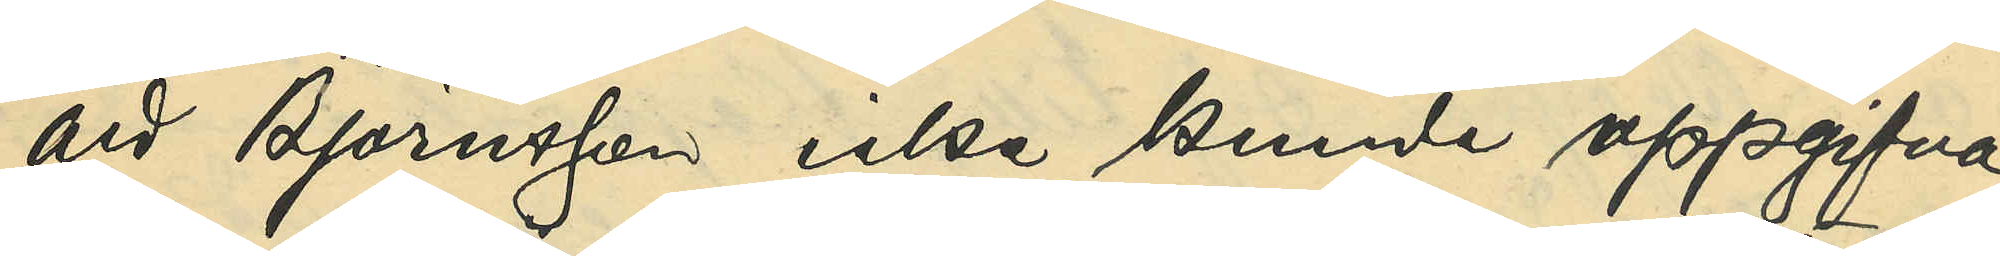att Björnsson icke kunde uppgifva,
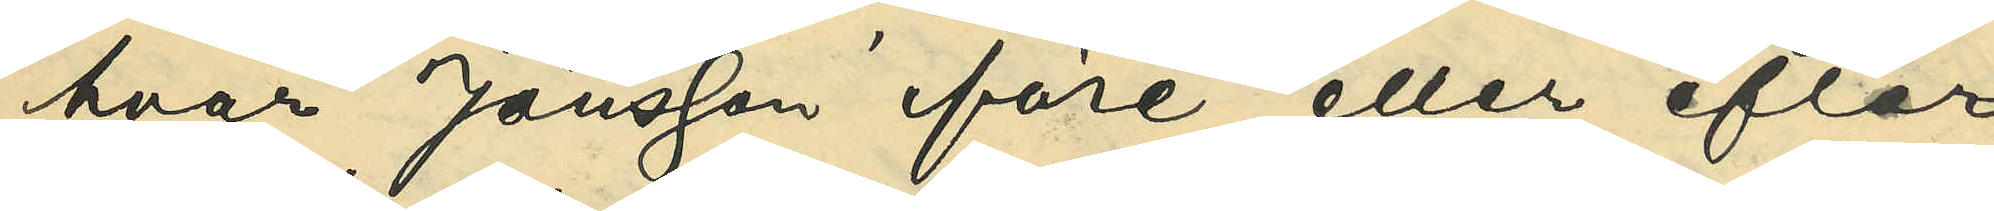hvar Jönsson före eller efter
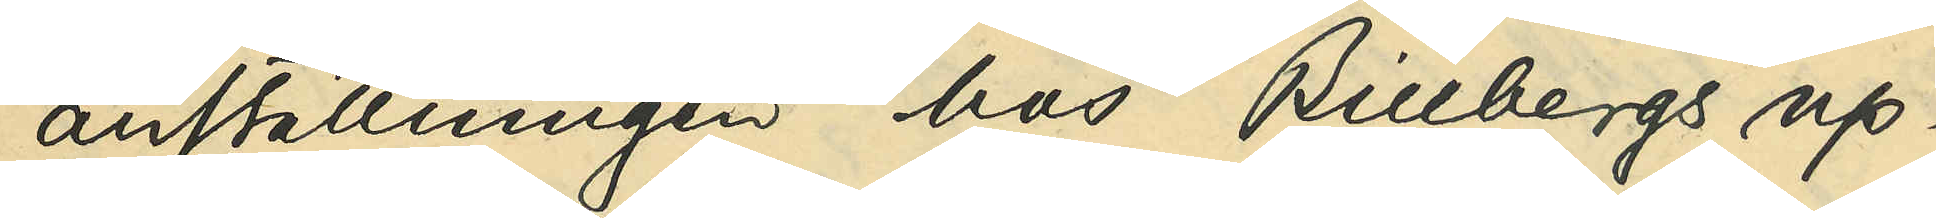anställningen hos Billbergs up¬
